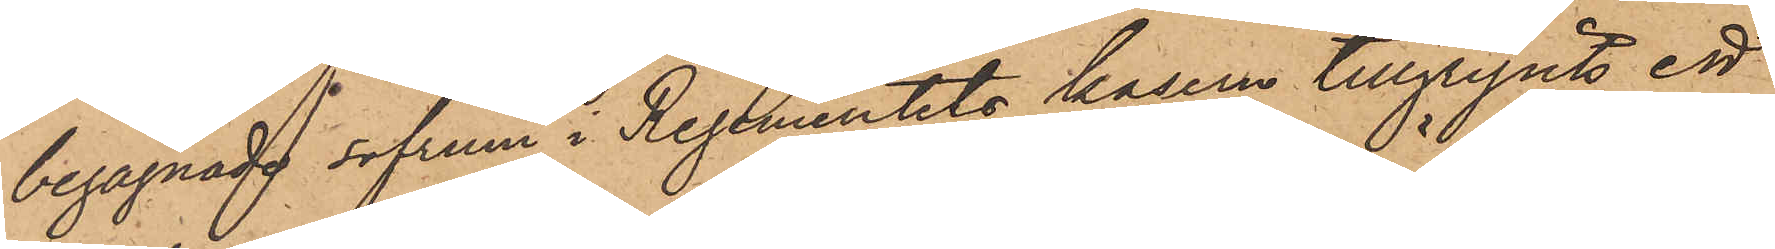begagnade sofrum i Regementets kasern tillgripits ett
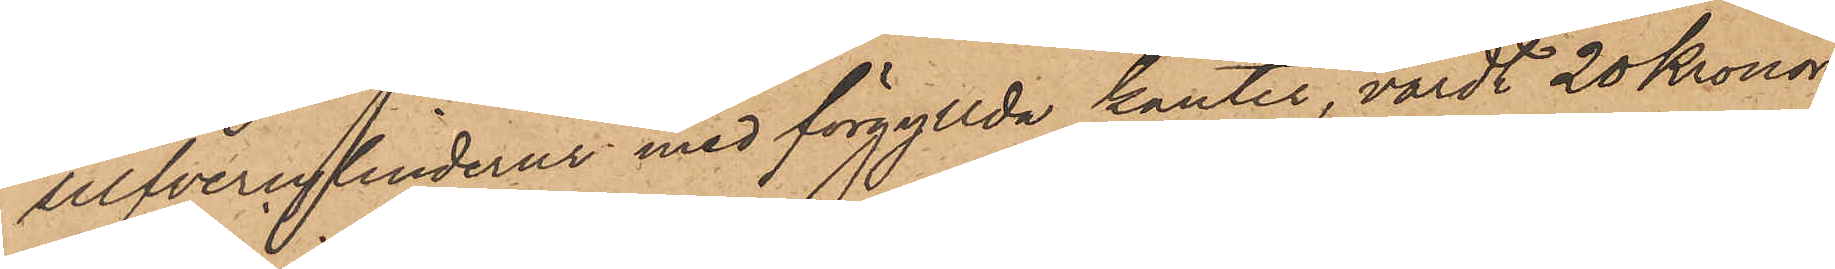silfvercylinderur med förgyllda kanter, värdt 20 Kronor,
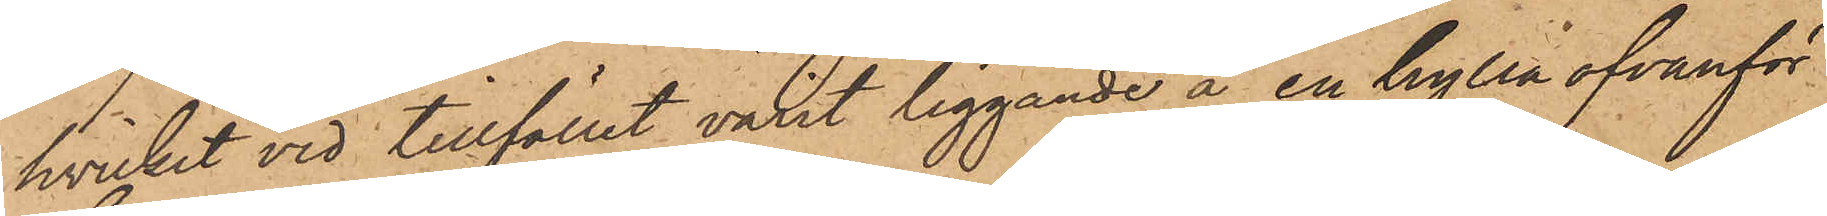hvilket vid tillfället varit liggande å en hylla ofvanför
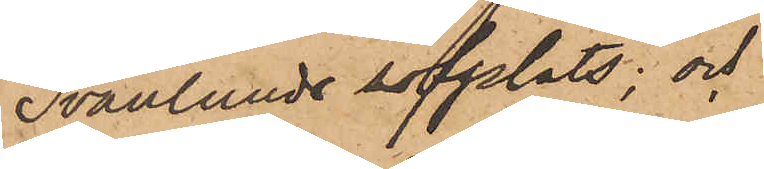Svanlunds sofplats; och
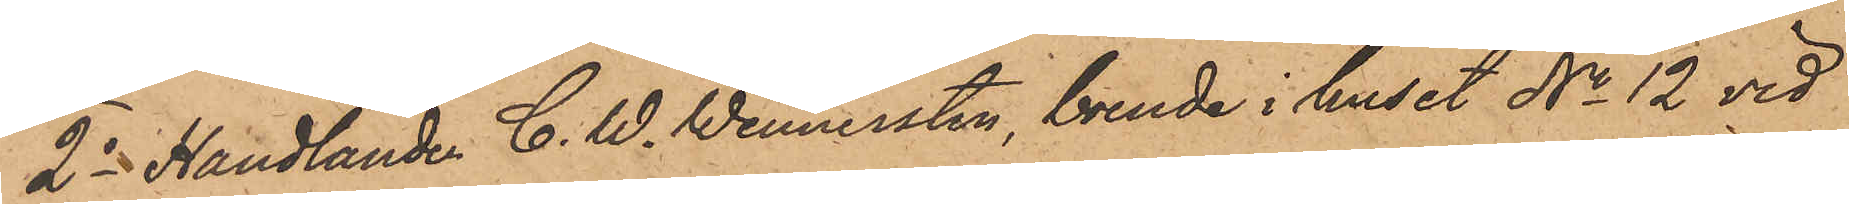2o Handlanden C. W. Wennersten, boende i huset No 12 vid
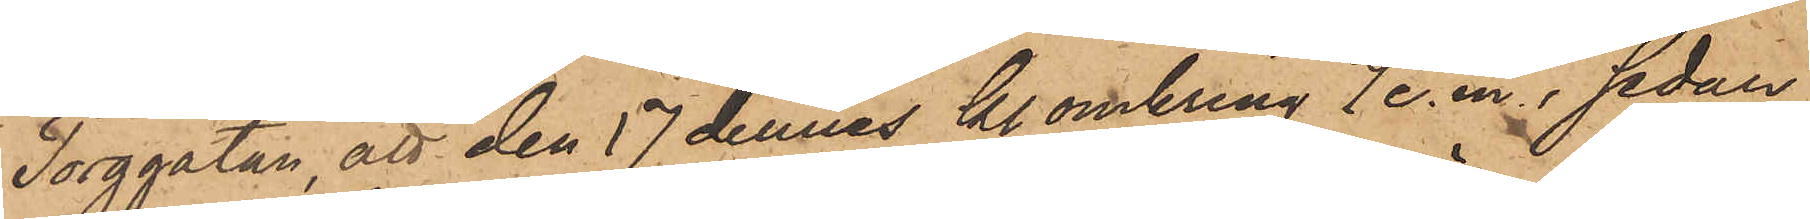Torggatan, att den 17 dennes kl. omkring 7 e.m., sedan
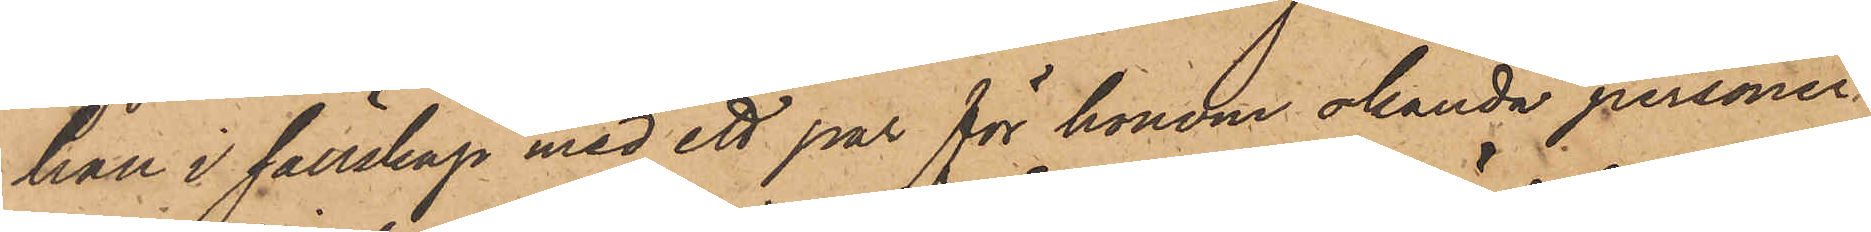han i sällskap med ett par för honom okända personer
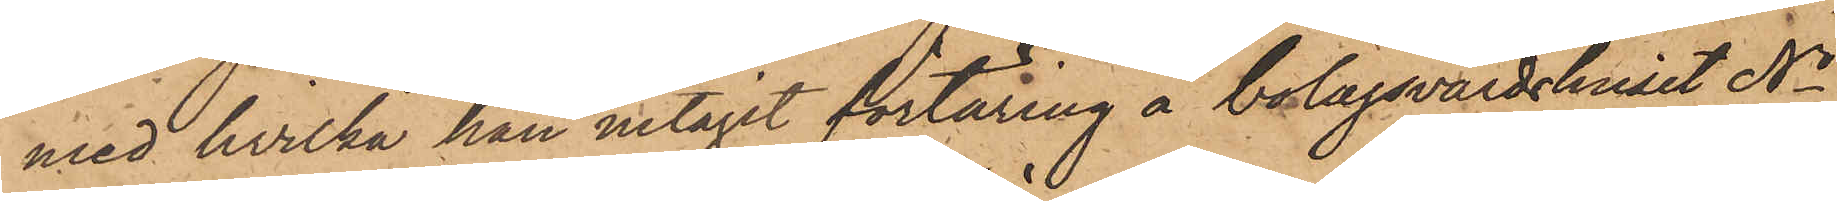med hvilka han intagit förtäring å bolagsvärdshuset No
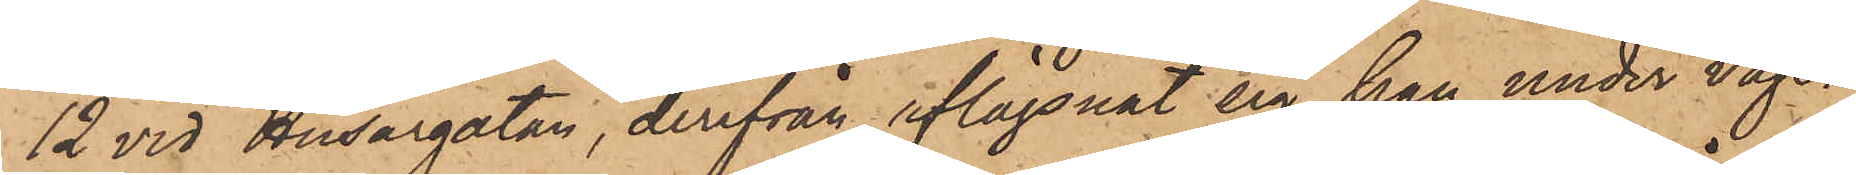12 vid Husargatan, derifrån aflägsnat sig, han under vägen
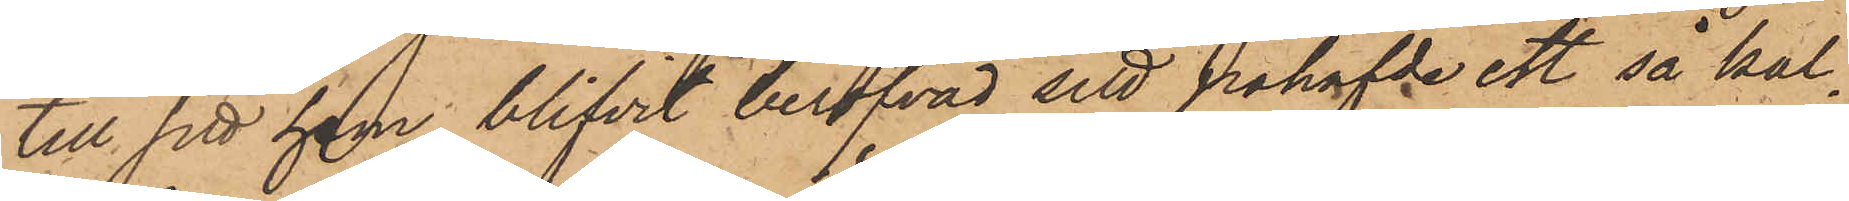till sitt hem blifvit beröfvad sitt påhafvde ett så kal¬
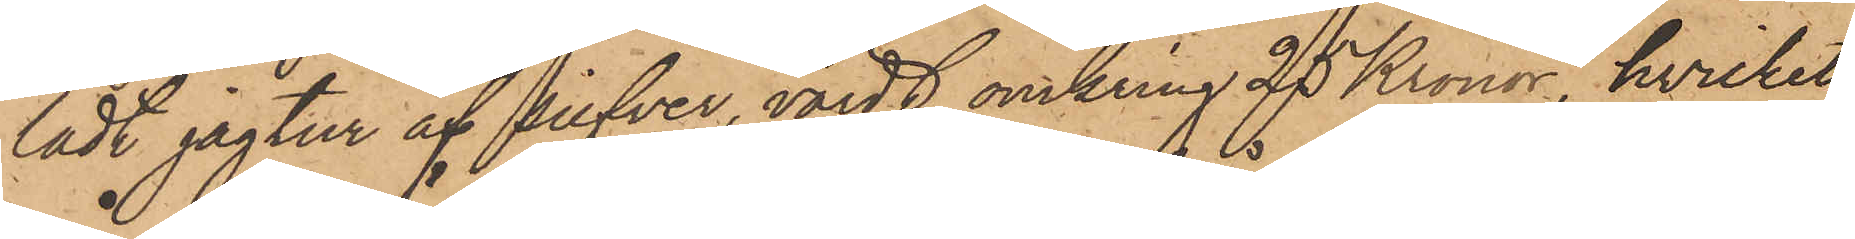ladt jagtur af silfver, värdt omkring 25 Kronor, hvilket
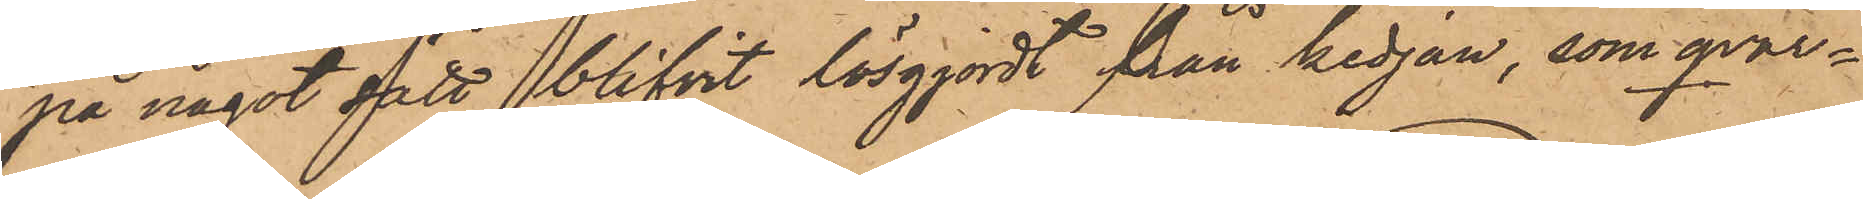på något sätt blifvit lösgjordt från kedjan, som qvar¬
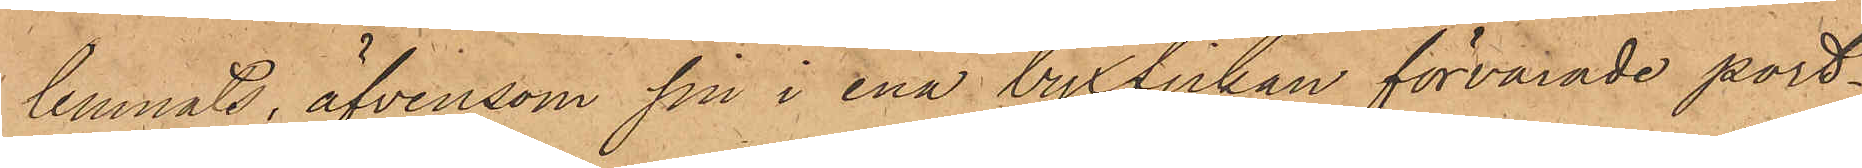lemnats, äfvensom sin i ena byxfickan förvarade port¬
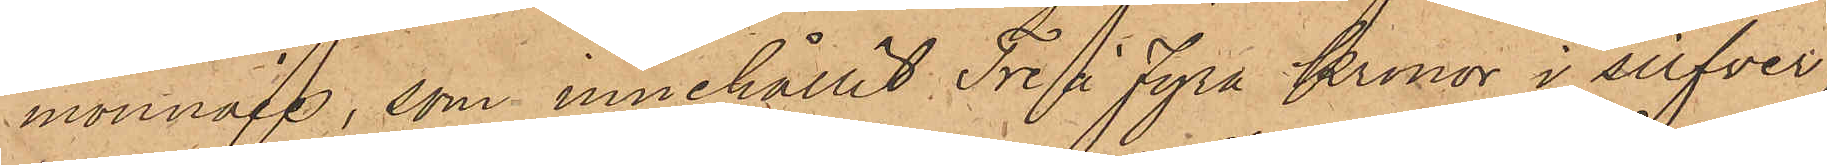monnaie, som innehållit Tre à Fyra Kronor i silfver,
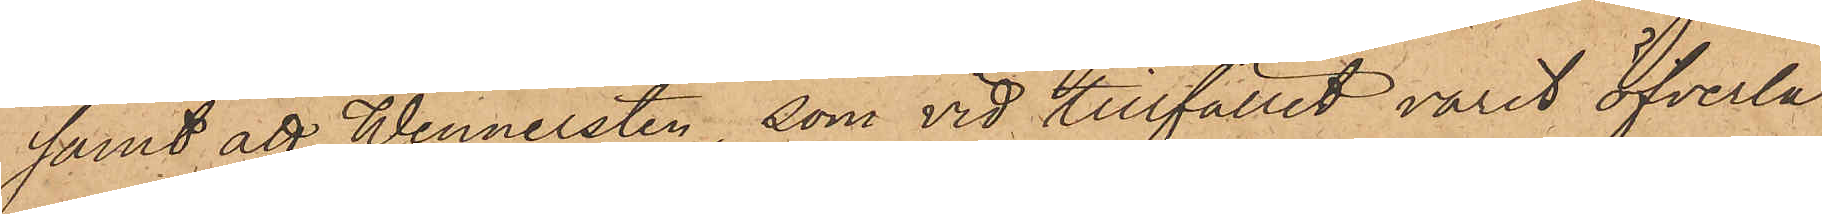samt att Wennersten, som vid tillfället varit öfverla¬
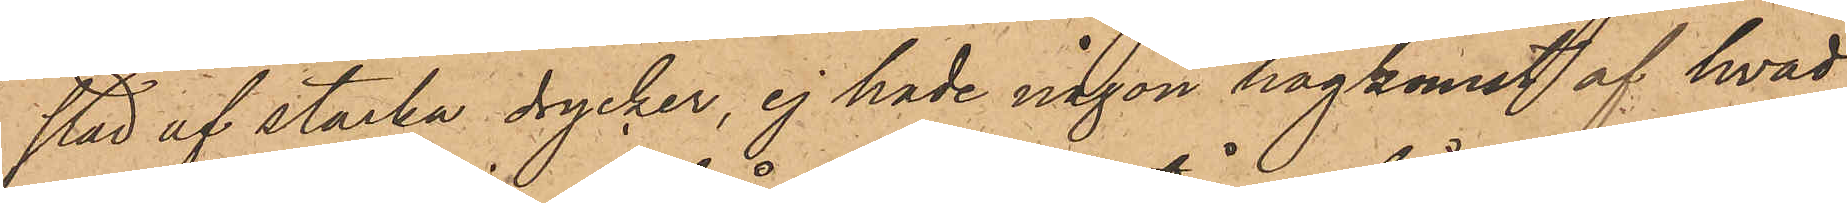stad af starka drycker, ej hade någon hågkomst af hvad
